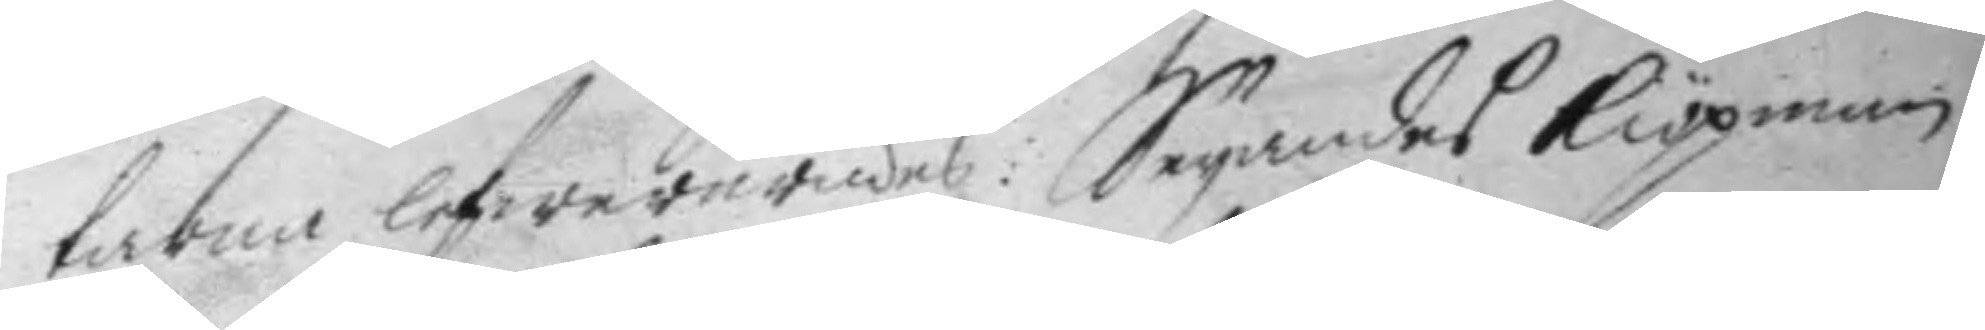tarna lewererades: Seyandes kiöpman¬
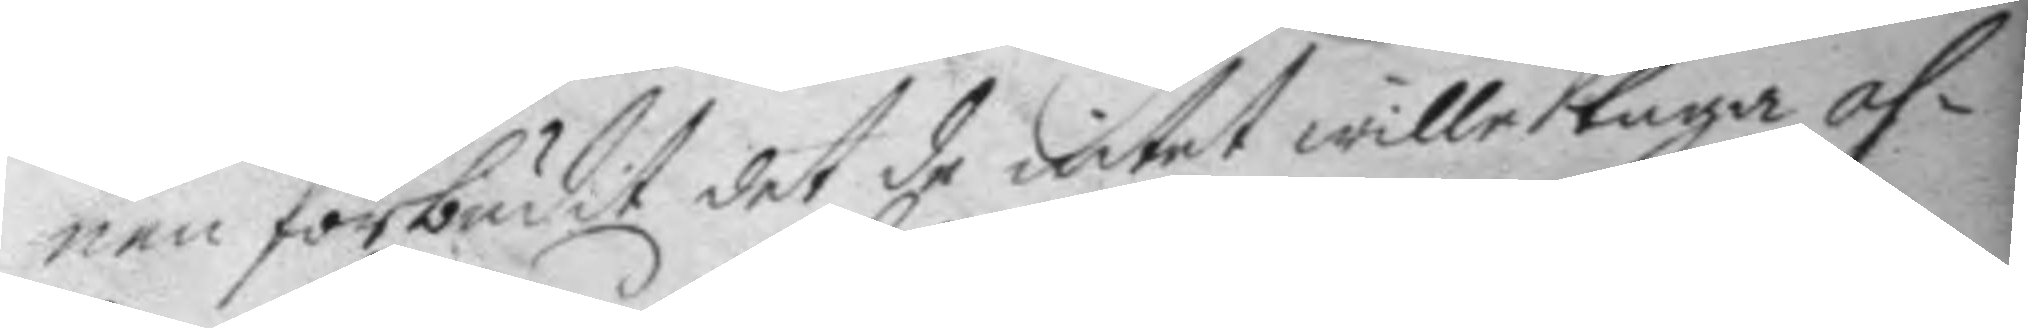nen förbudit det de intet wille taga as¬
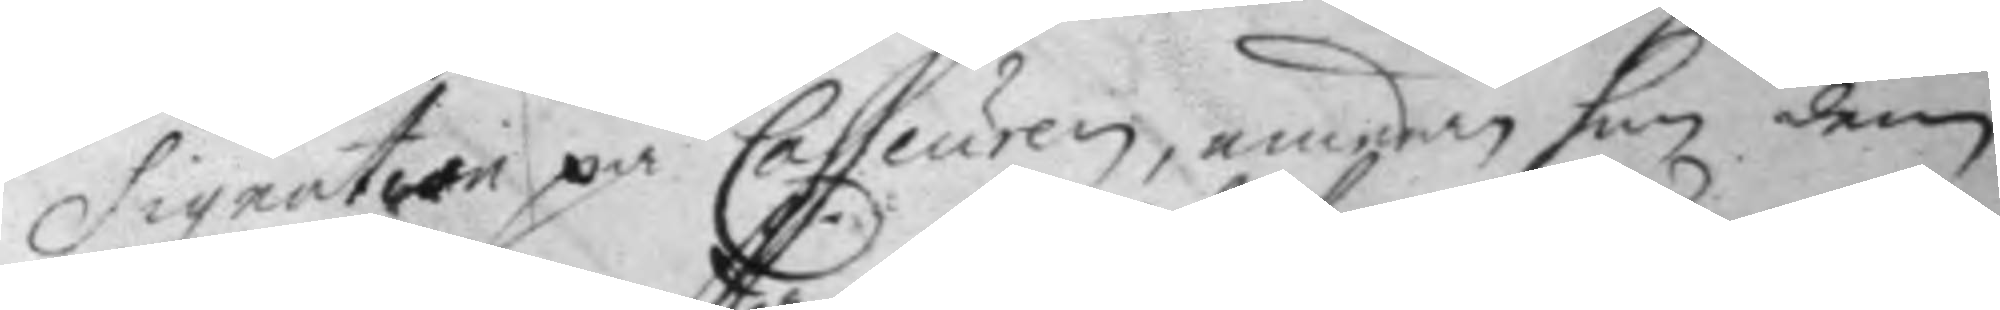signation på casseuren, emedan han dem
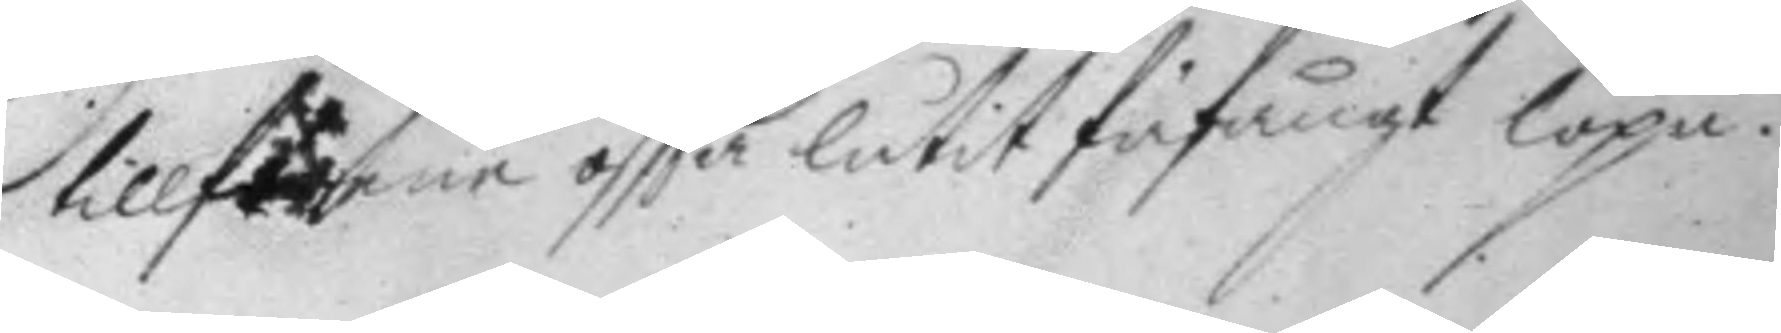tillförene oftta låtir fåfängt löpa.
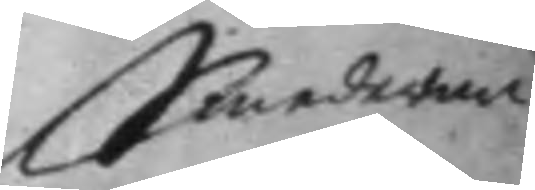Smederne
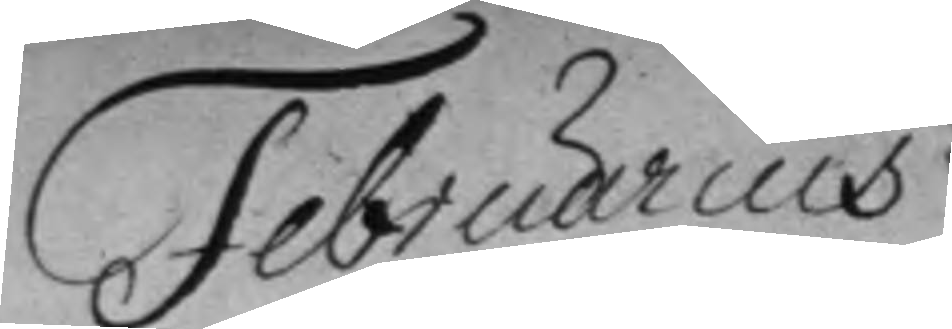Februarius
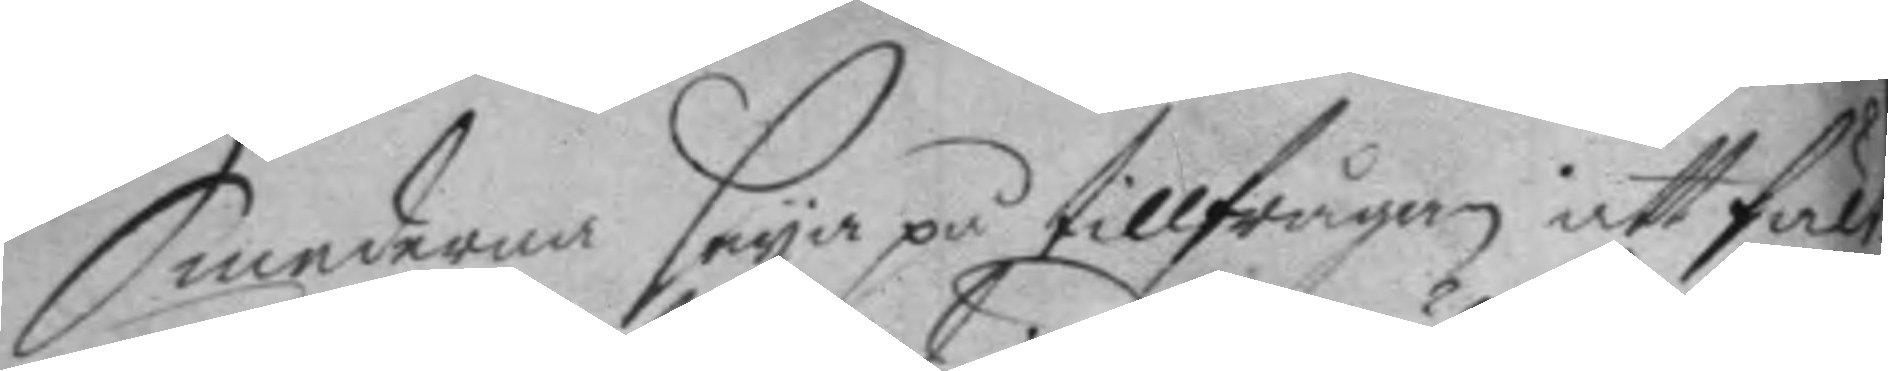Smederna seya på tillfrågan att fält
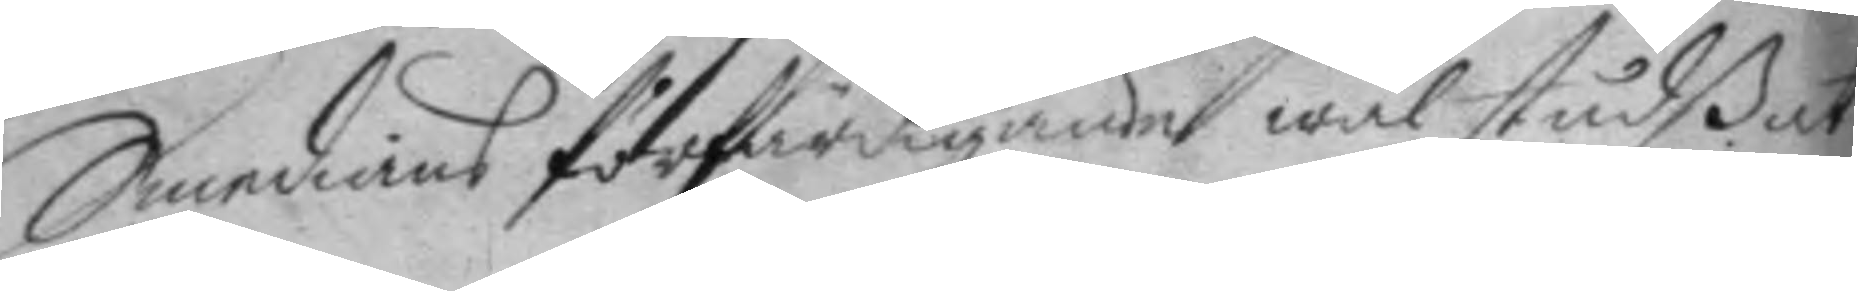Smedians förfärdigande wäl studßat
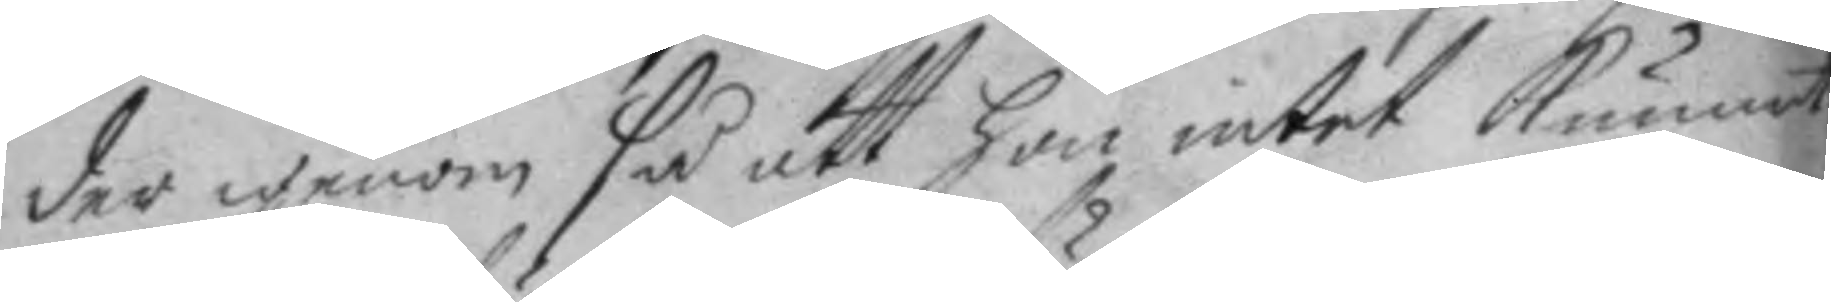der igenom så att hon intet kunnat
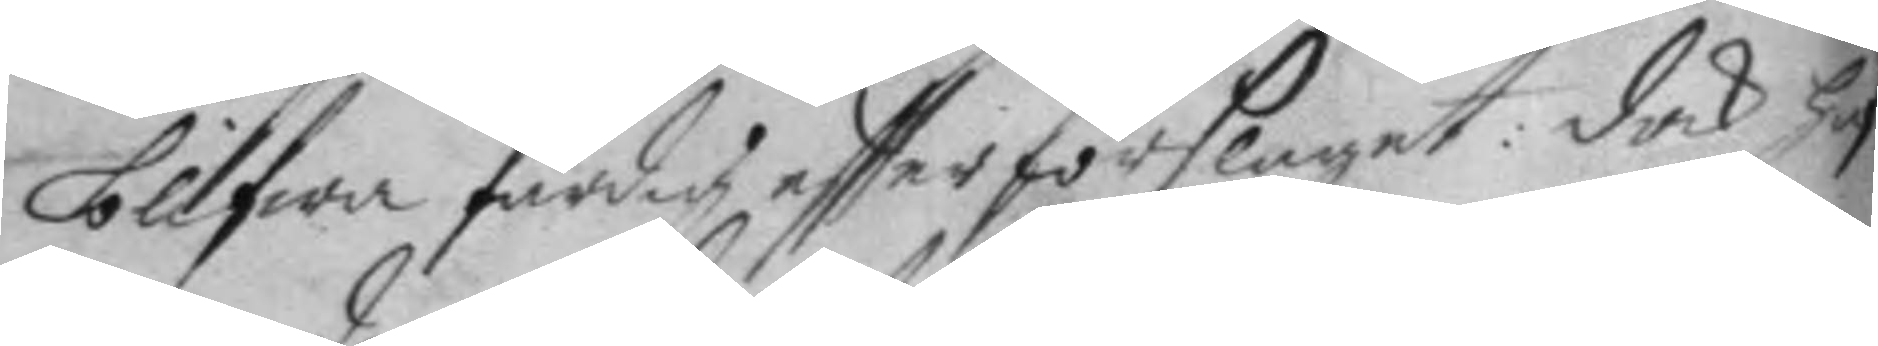blifwa färdig effter förslaget: doch ha¬
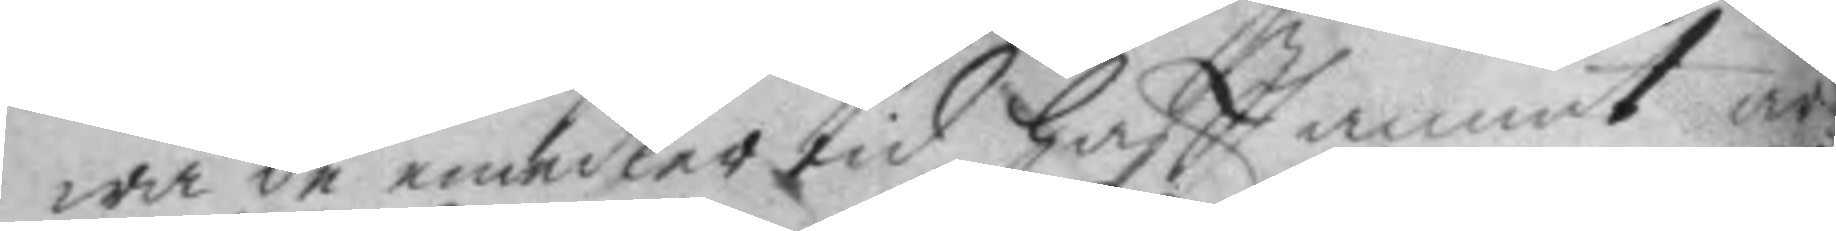wa de emedlertid haftt annat ar¬
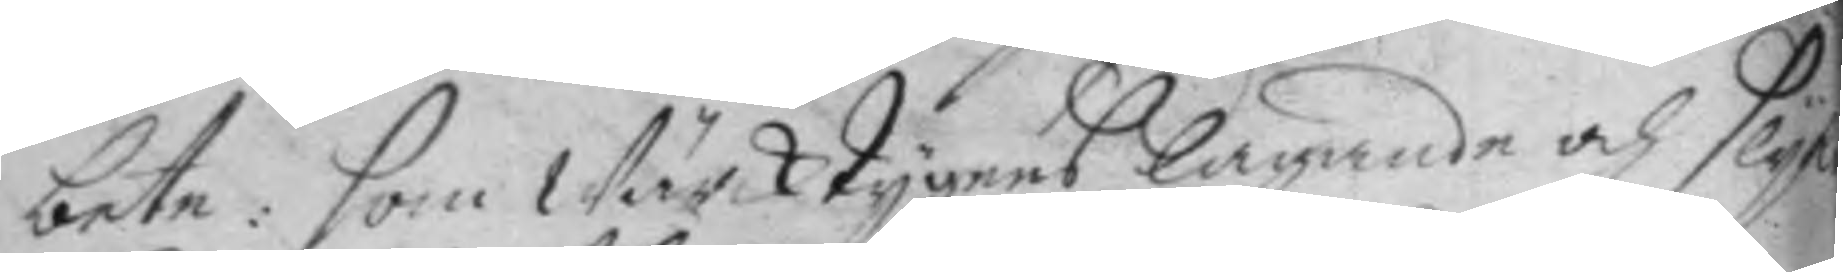bete: som Wärcktygens lagande och slyk
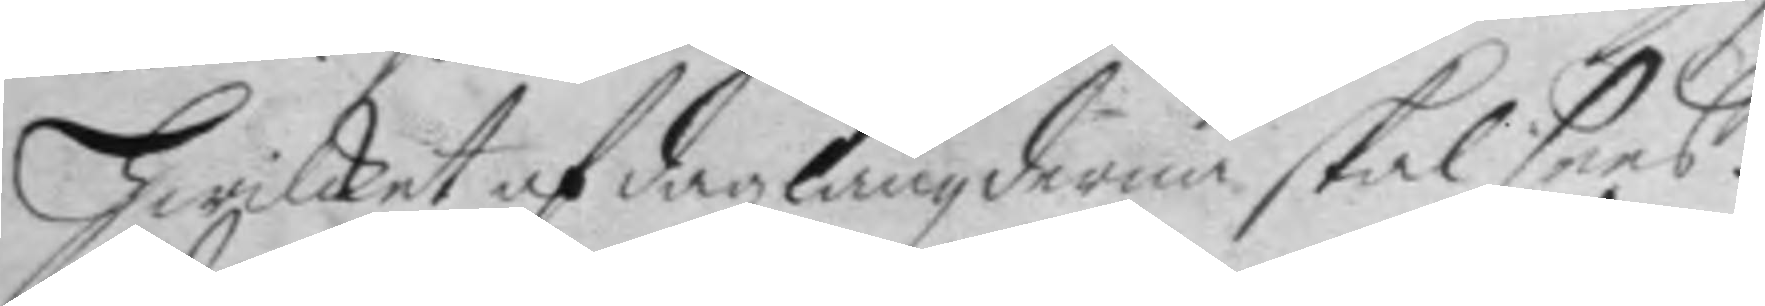hwilket af dagz längderna skal sees.
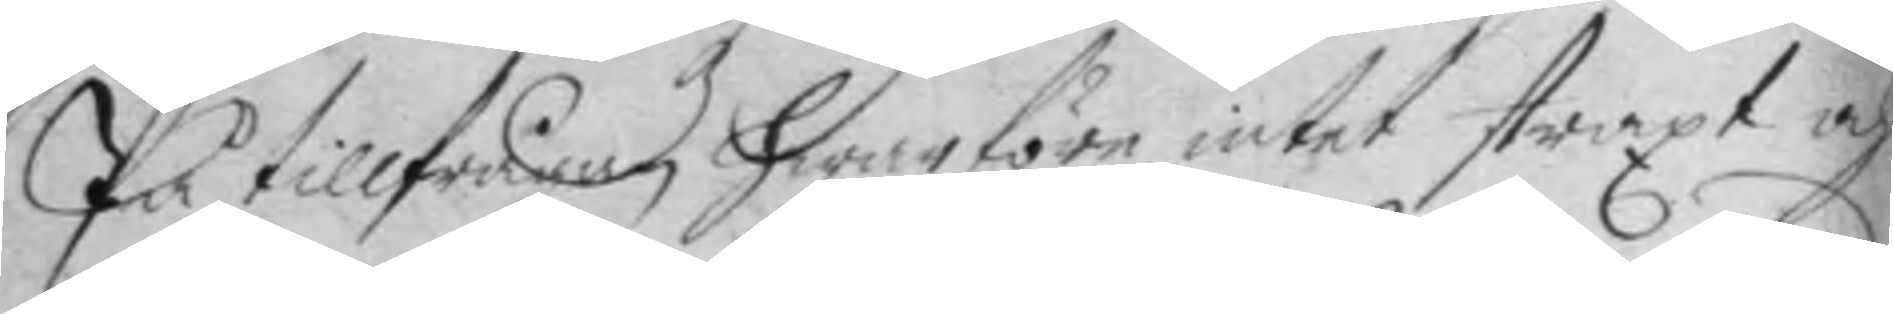På tillfrågan hwarföre intet straxt och
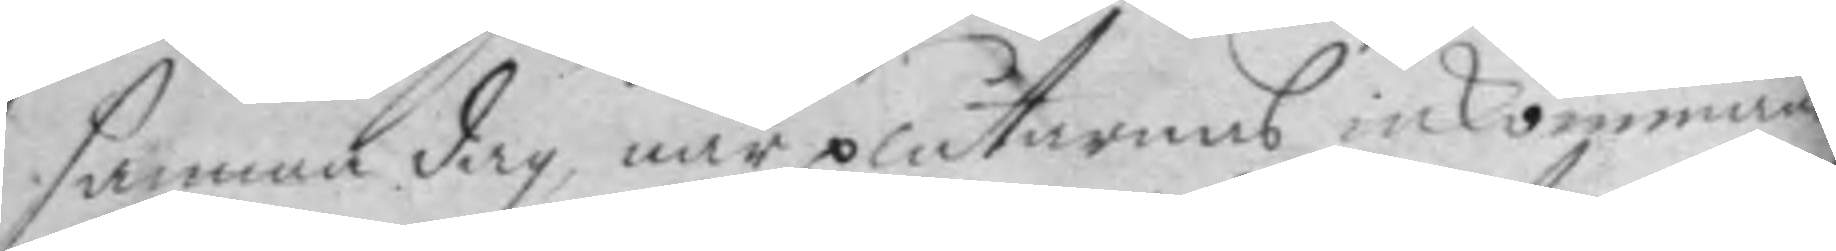samnan dag, när plåtarnas inkommande
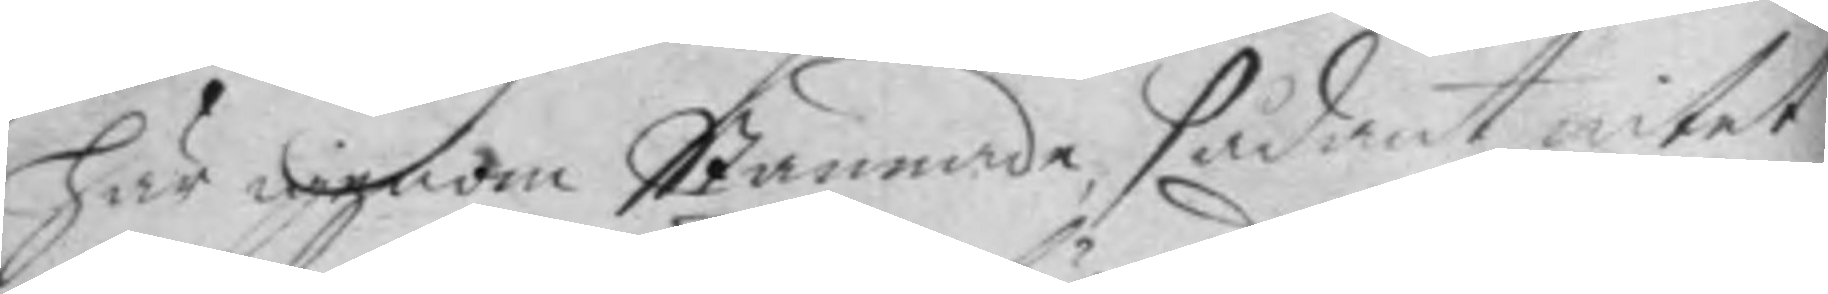här igenom Stannade, sådant intet
